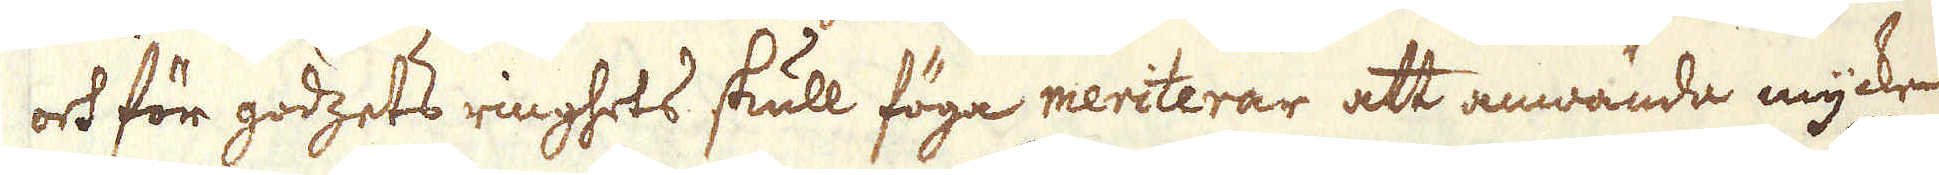och för godzets ringhets skull föga meriterar att anwända mycken
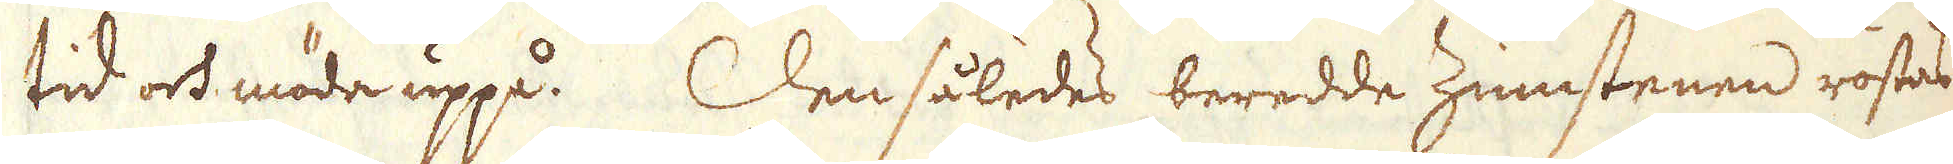tid och möda uppå. Den således beredde Zinnstenen rostas
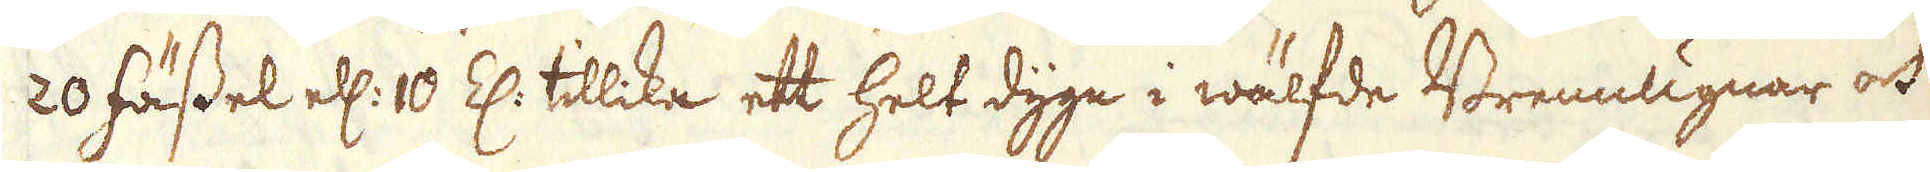20 fässel ell: 10 Z: tillika ett helt dygn i wälfde Brennugnar och
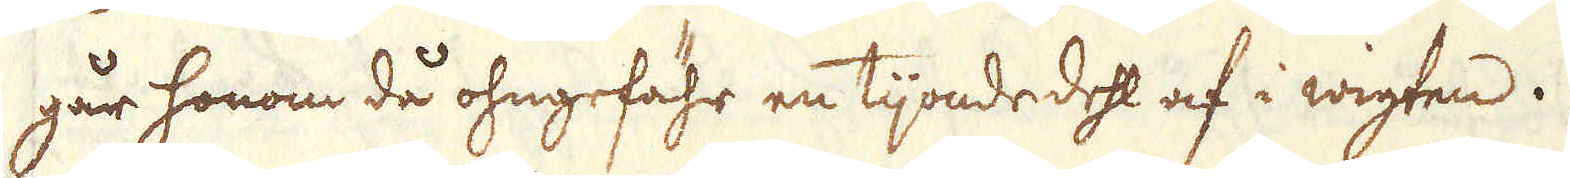går honom då ohngefähr en tijonde dehl af i wigten.
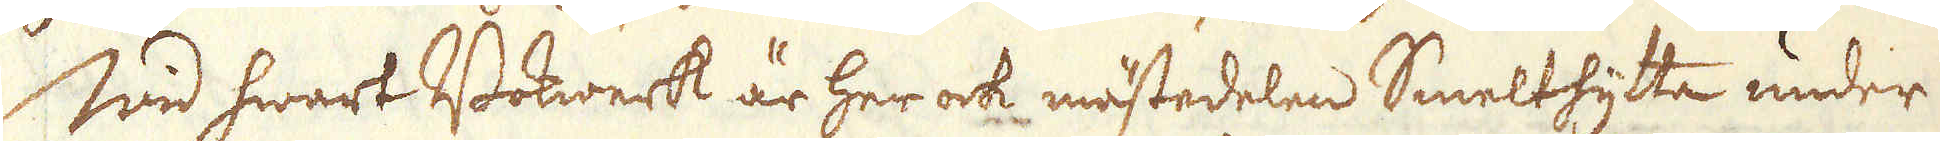Wid hwart Bokwerk är her ock mästedelen Smelthytta under
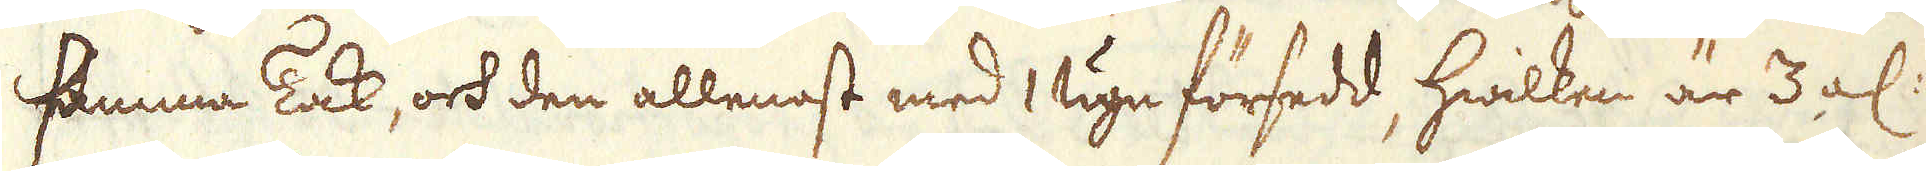samma Tak, och den allenast med 1 ugn försedd, hwilken är 3 al:
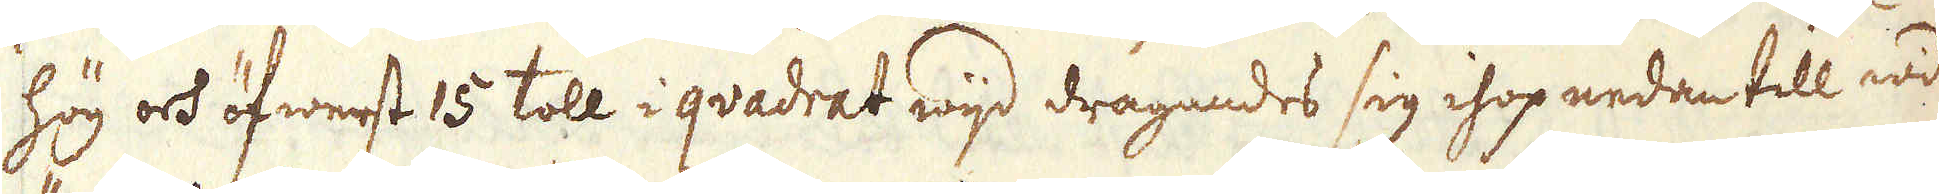hög och öfwerst 15 toll i qvadrat wijd dragandes sig ihop nedan till wid
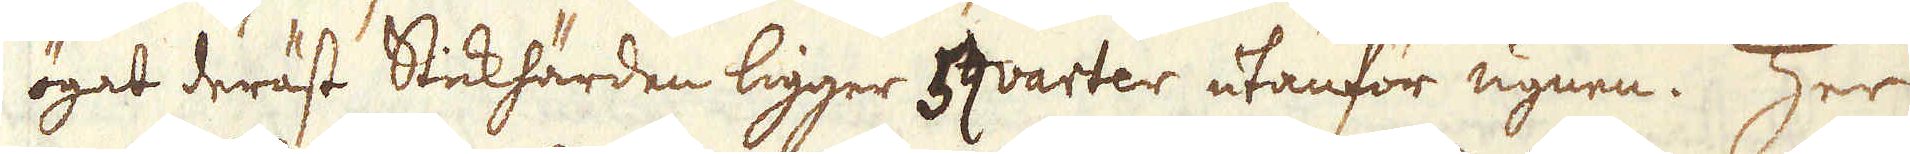ögat deräst Stickhärden ligger 5 qvarter utanför ugnen. Her
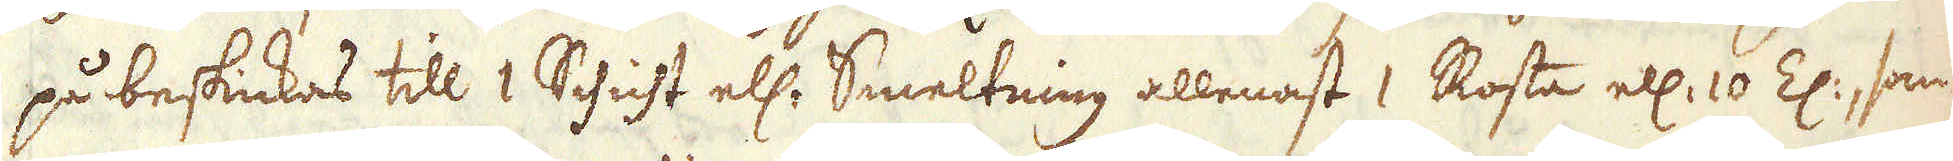på beskickas till 1 Schicht ell: Smeltning allenast 1 Rosta ell: 10 Z:, som
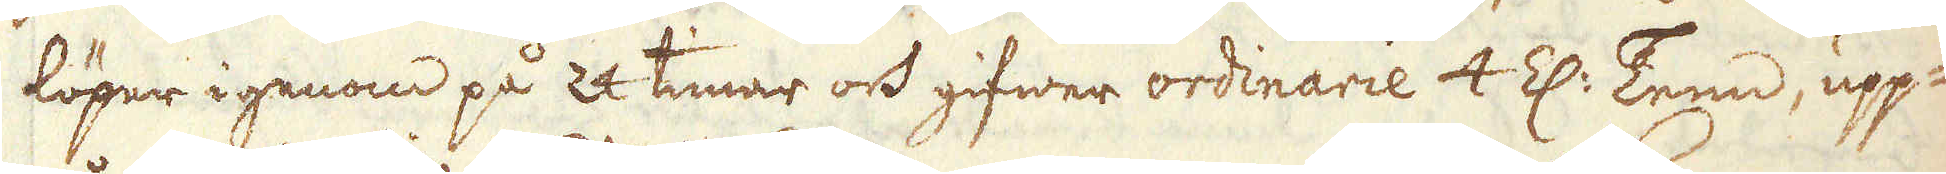löper igenom på 24 timar och gifwer ordinarie 4 Z: Tenn, upp-
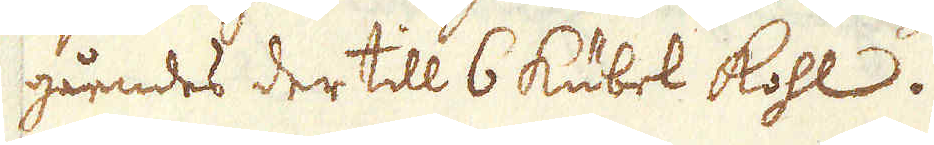gåendes der till 6 Kübel Kohl.
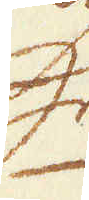Her
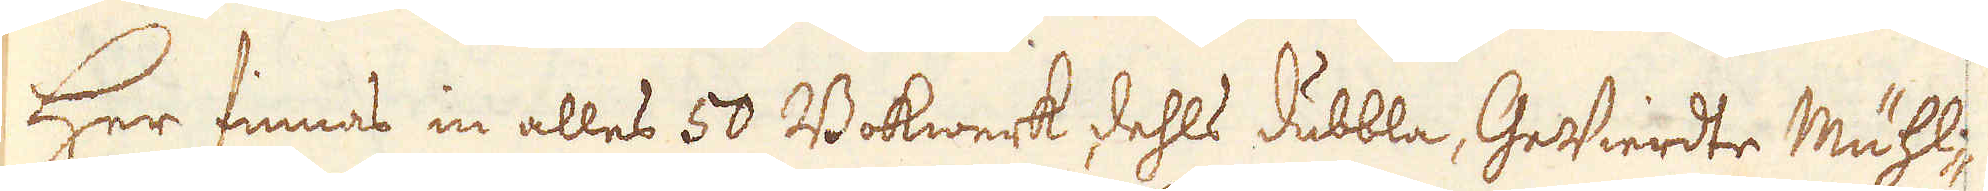Her finnas in alles 50 Bokwerk, dehls dubbla, Gewierdte Mühl-
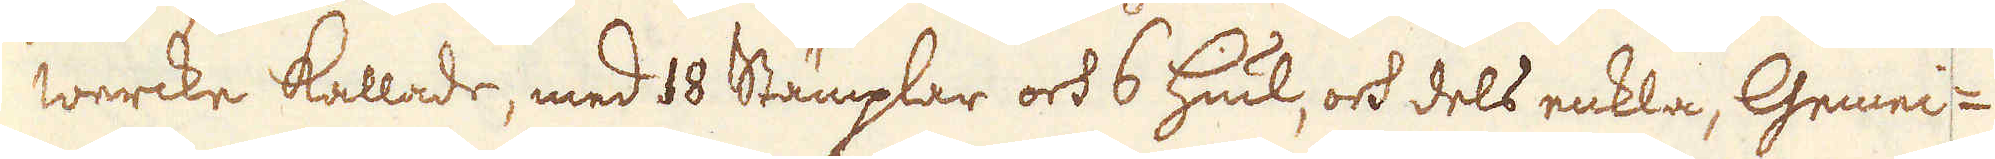wercke kallade, med 18 Stämplar och 6 Hiul, och dels enkla, Gemei-
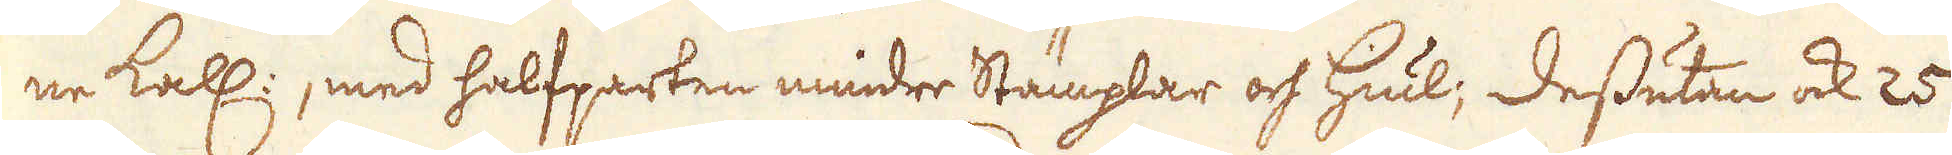ne kall:, med halfparten mindre Stämplar och Hiul; Dessutan ock 25
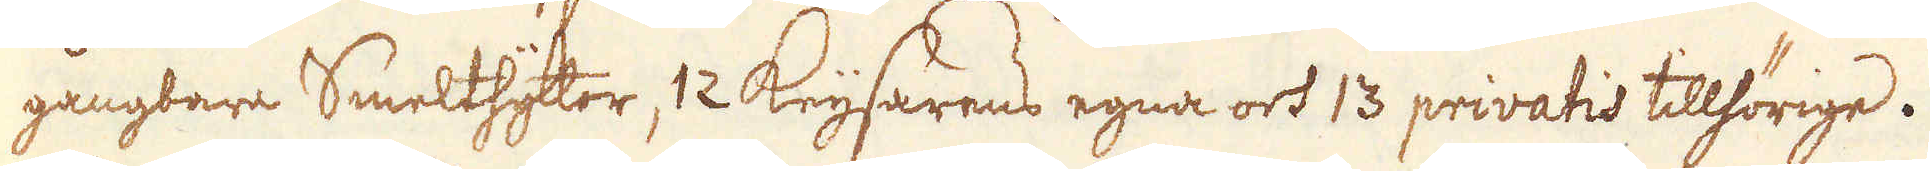gångbara Smelthyttor, 12 Keijsarens egna och 13 privatis tillhörige.
